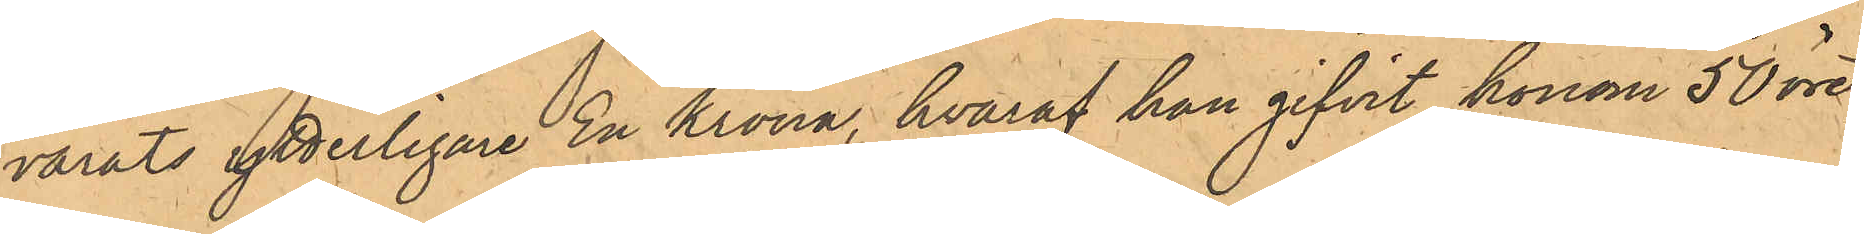varats ytterligare En Krona, hvaraf han gifvit honom 50 öre;
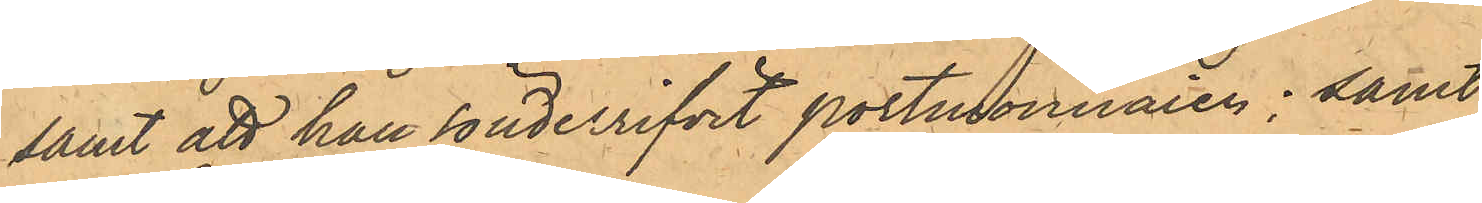samt att han sönderrifvit portmonnaien; samt
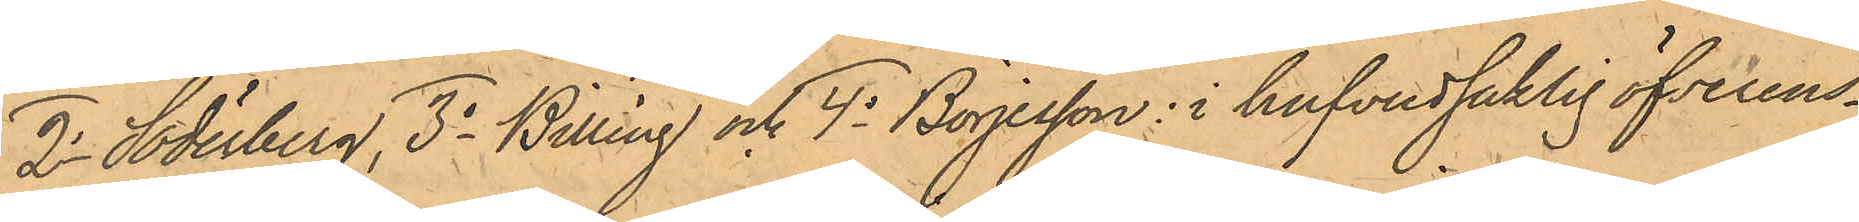2o Söderberg, 3o Billing och 4o Börjesson i hufvudsaklig öfverens¬
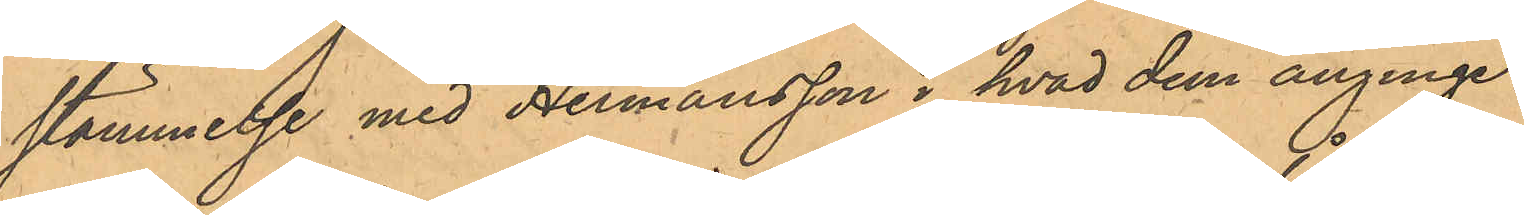stämmelse med Hermansson i hvad dem anginge.
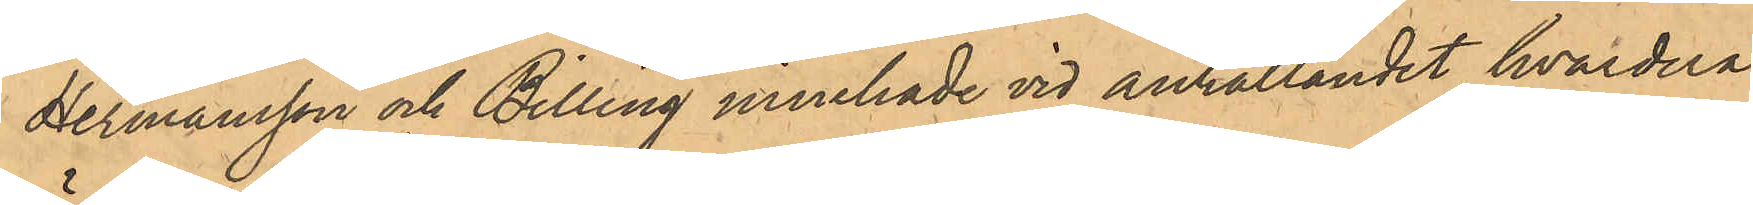Hermansson och Billing innehade vid anhållande hvardera
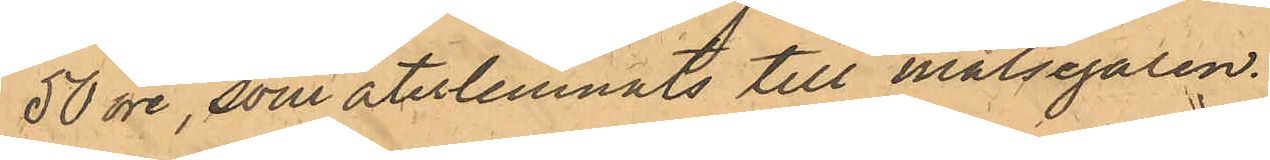50 öre, som återlemnats till målsegaren.
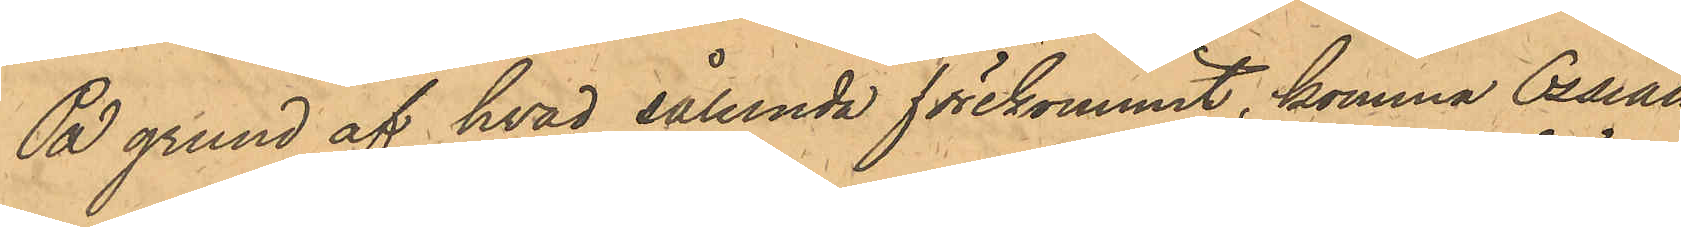På grund af hvad sålunda förekommit, komma Ossian
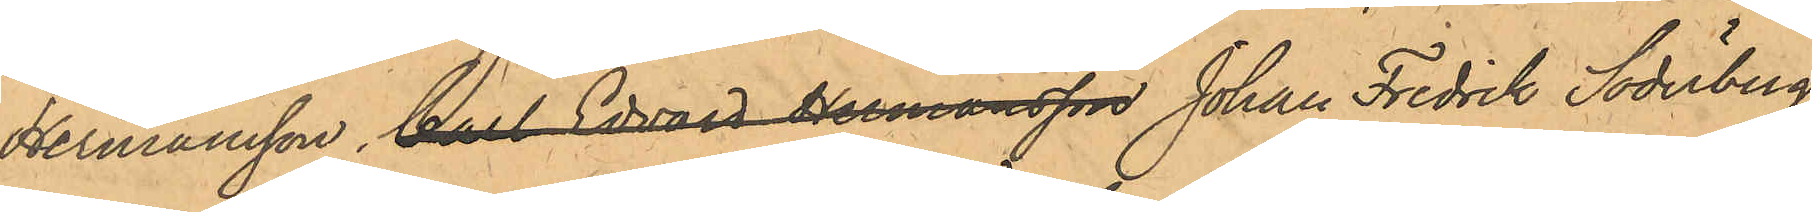Hermansson, Carl Edvard Hermansson Johan Fredrik Söderberg,
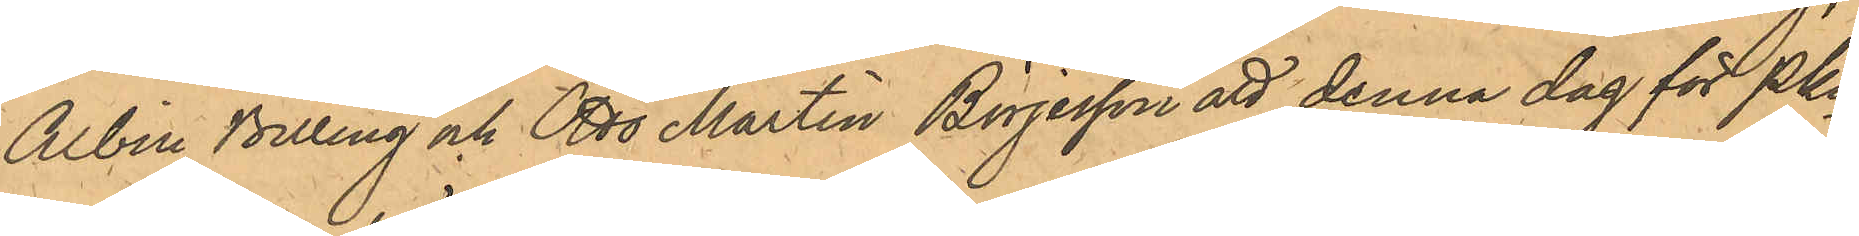Albin Billing och Otto Martin Börjesson att denna dag för PKn
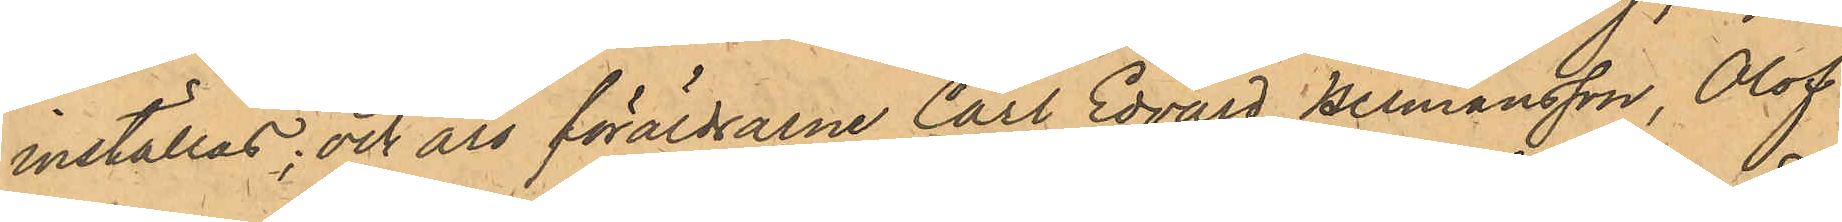inställas; och äro föräldrarne Carl Edvard Hermansson, Olof
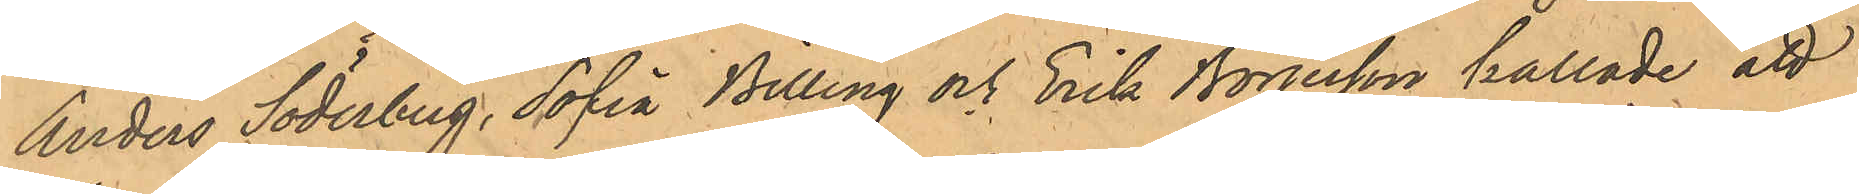Anders Söderberg, Sofia Billing och Erik Börjesson kallade att 
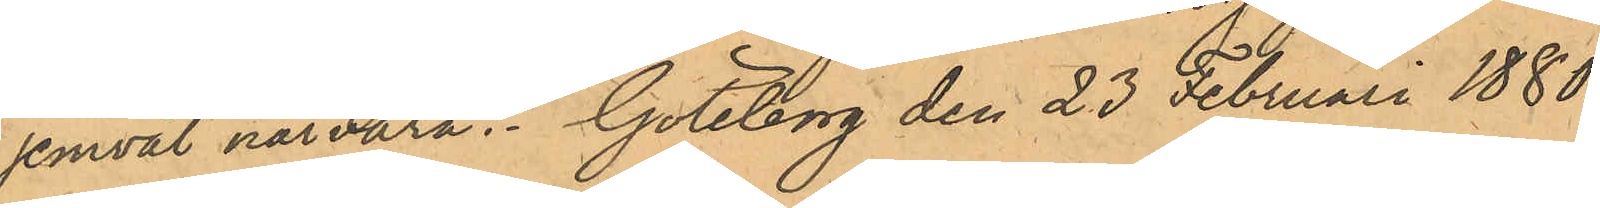jemväl närvara. Göteborg den 23 Februari 1880.
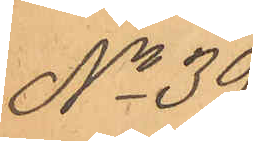No 39.
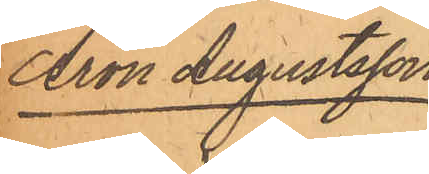Aron Augustsson.
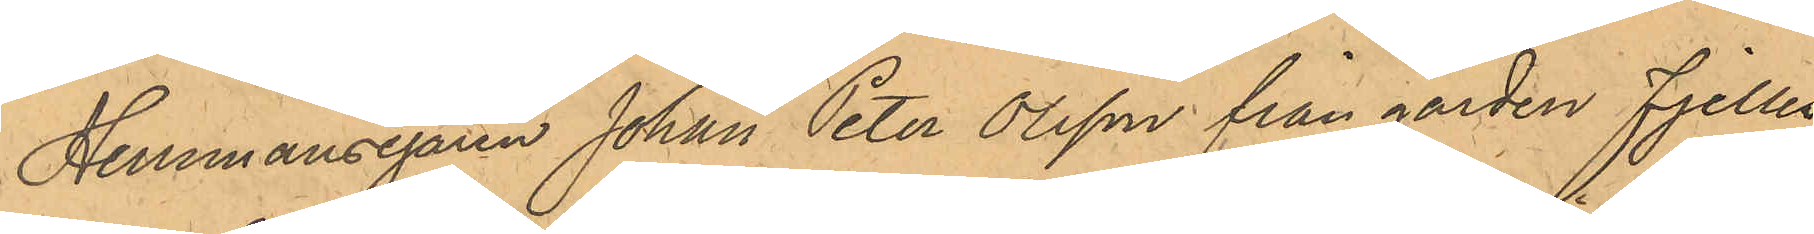Hemmansägaren Johan Peter Olsson från gården Fjelles¬
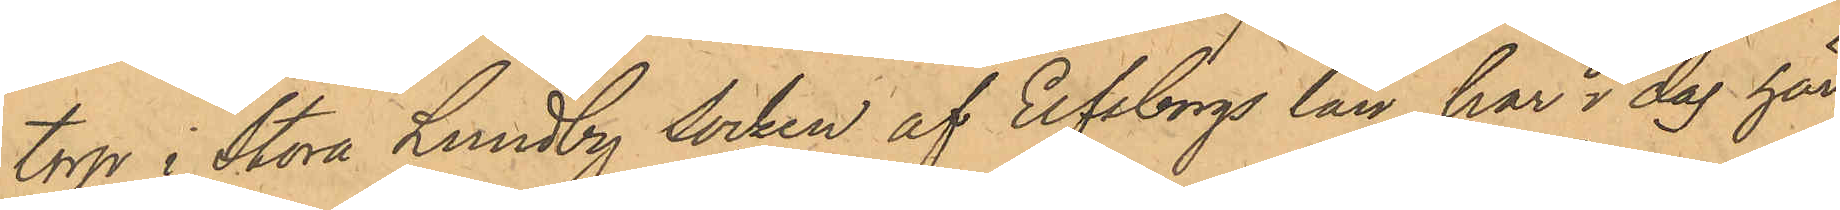torp i Stora Lundby Socken af Elfsborgs län har idag här¬
